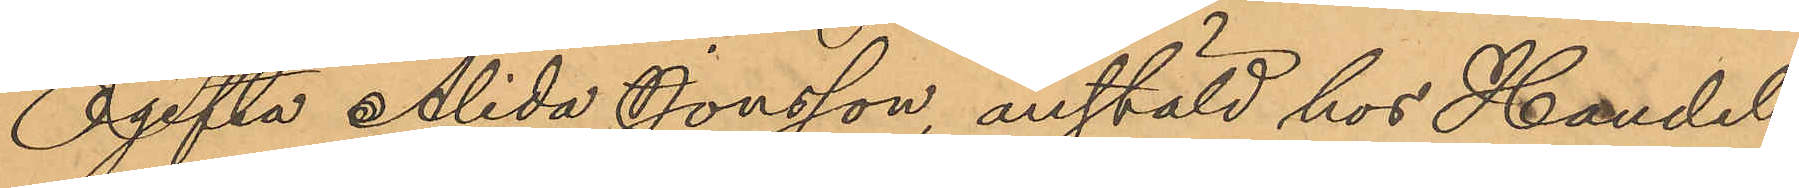Ogifta Alida Jonsson, anstäld hos Handels¬
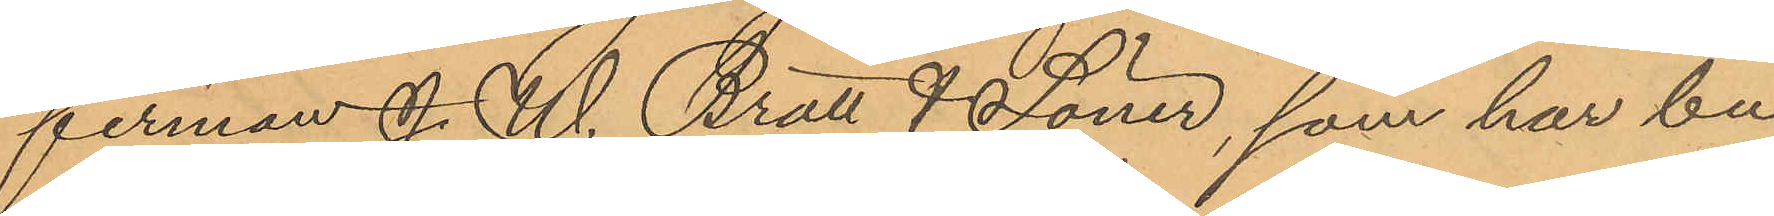firman J. W Bratt & Söner, som har bu¬
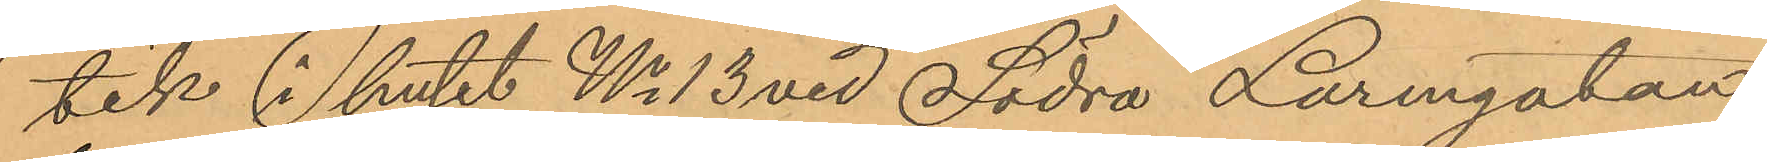tik i huset No 13 vid Södra Larmgatan,
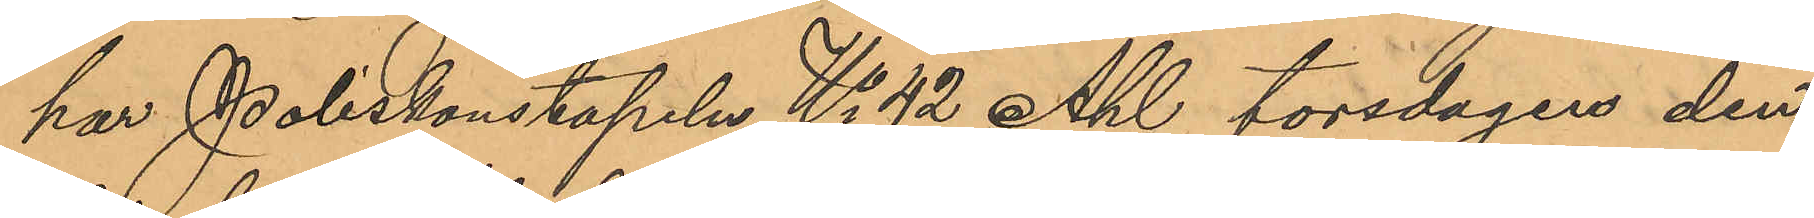har Poliskonstapeln No 42 Ahl torsdagen den
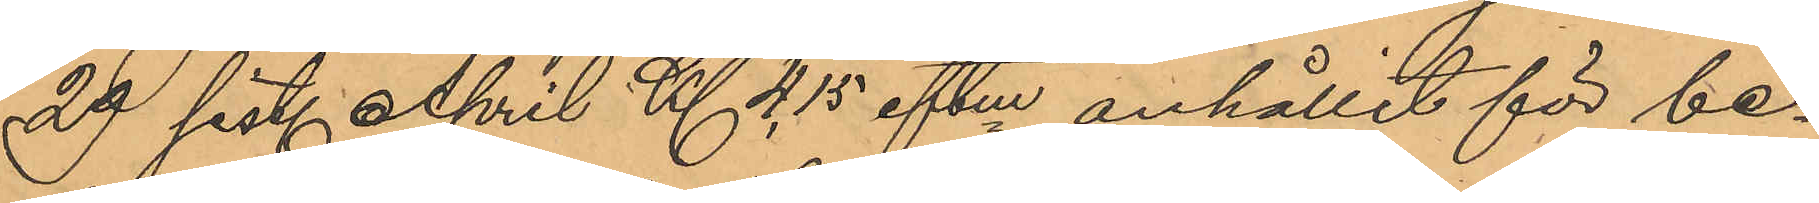29 sist. April Kl 4,15 eftm anhållit för be¬
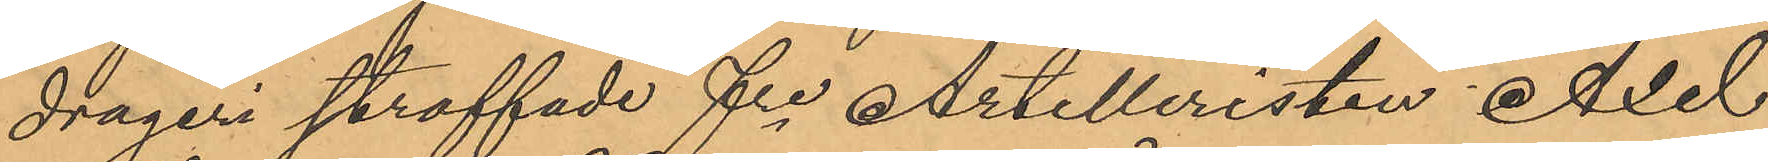drägeri straffade fre Artilleristen Axel
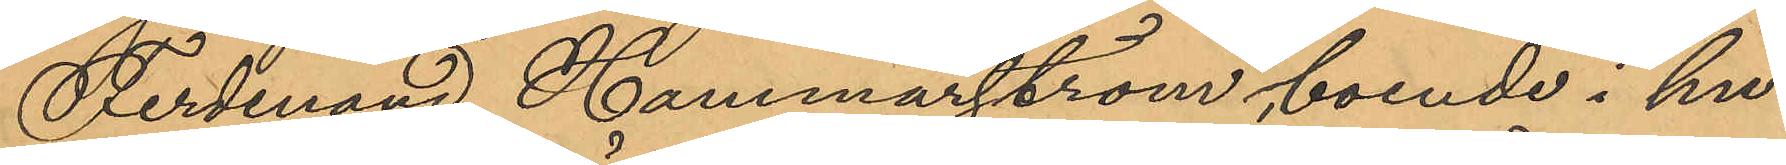Ferdinand Hammarström, boende i hu¬
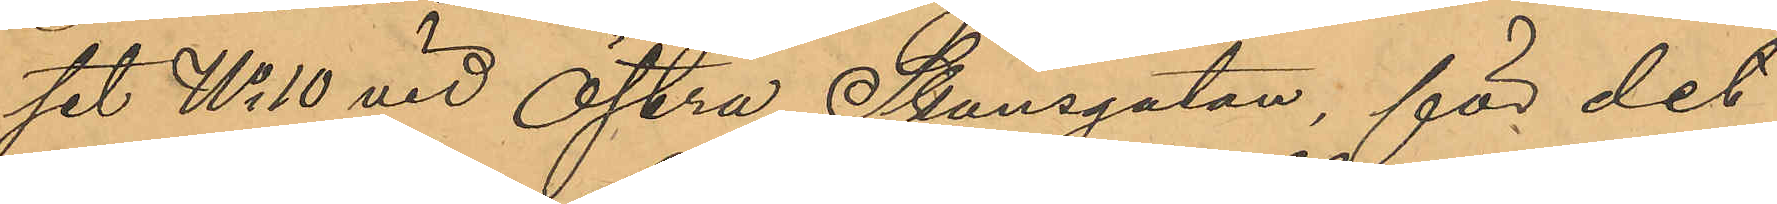set No 10 vid Östra Skansgatan, för det
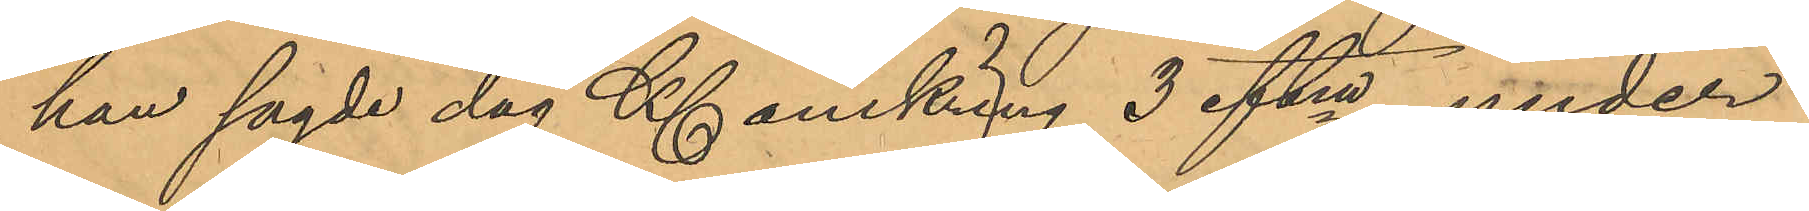han sagde dag Kl omkring 3 eftm under
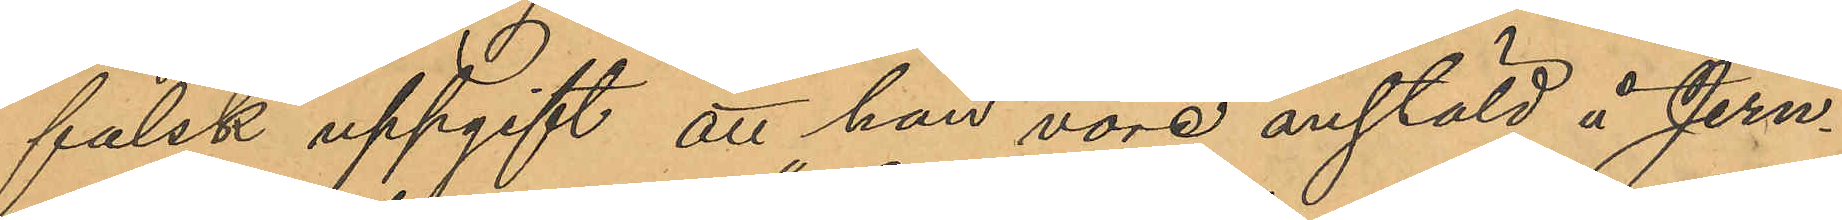falsk uppgift att han vore anstäld å Jern¬
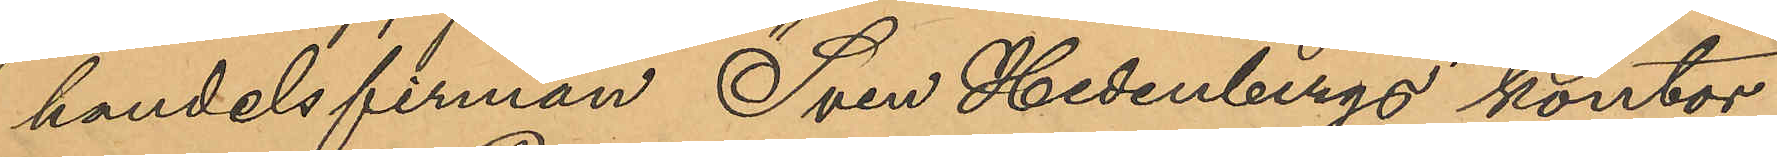handelsfirman "Sven Hedenbergs" kontor
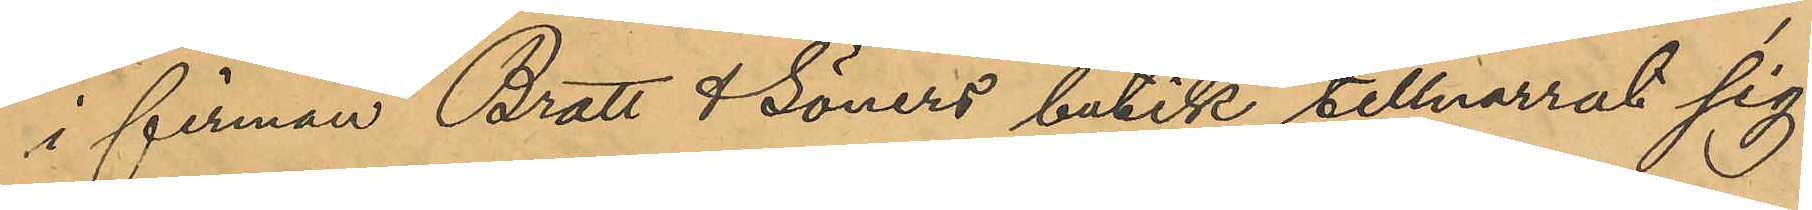i firman Bratt & Söners butik tillnarrat sig
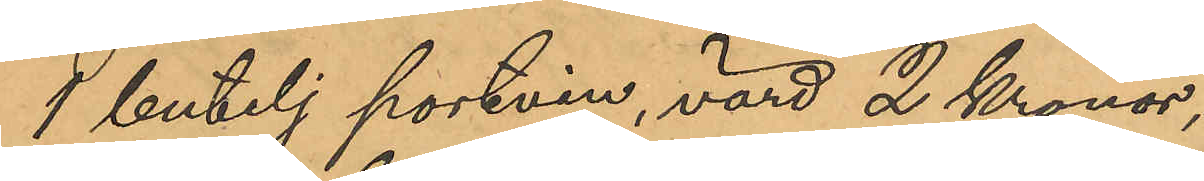1 butelj portvin, värd 2 Kronor,
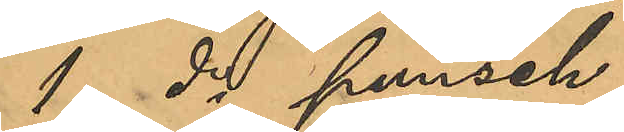1do punch
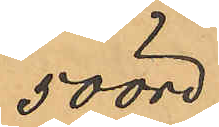50 öre,
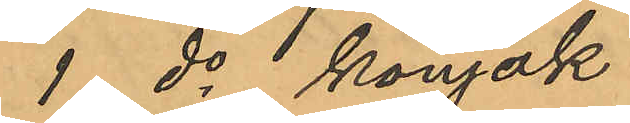1 do konjak
